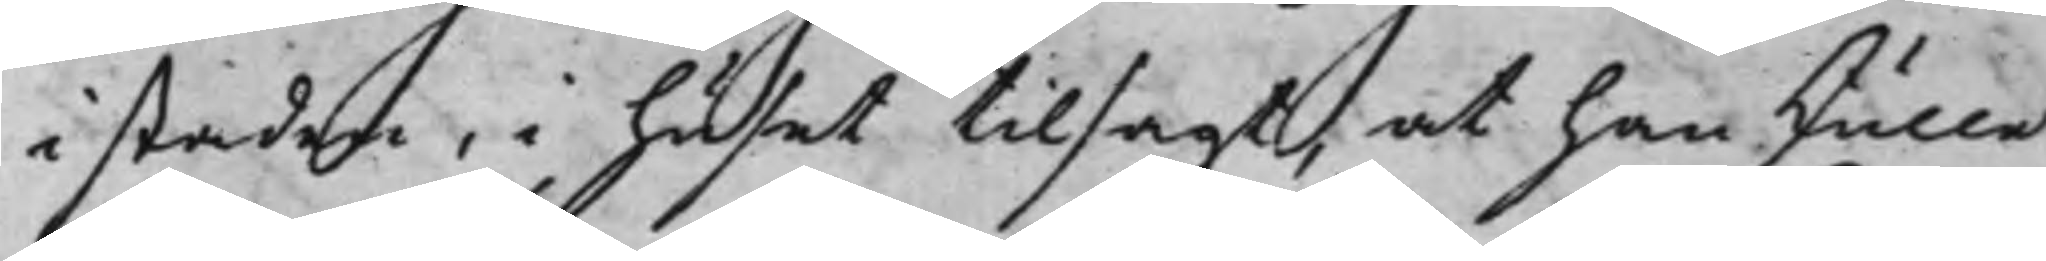i staden, i huset tilsagt, at han skulle
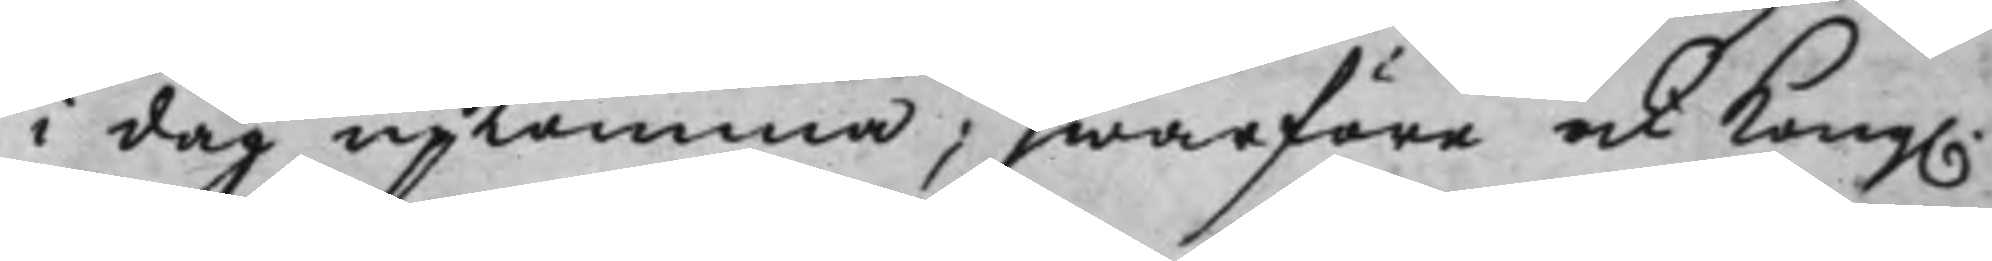i dag upkomma; hwarföre ock Kong.
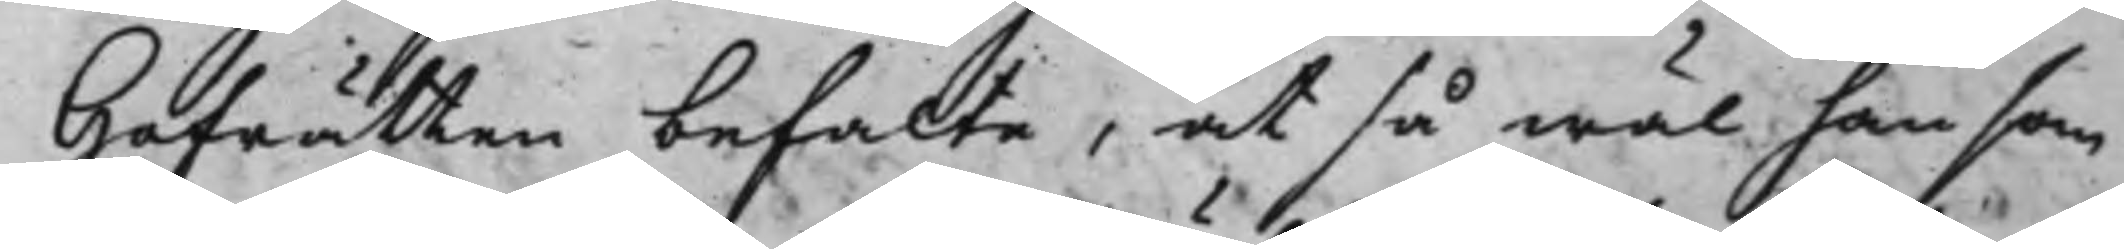Hofrätten befalte, at så wäl han som
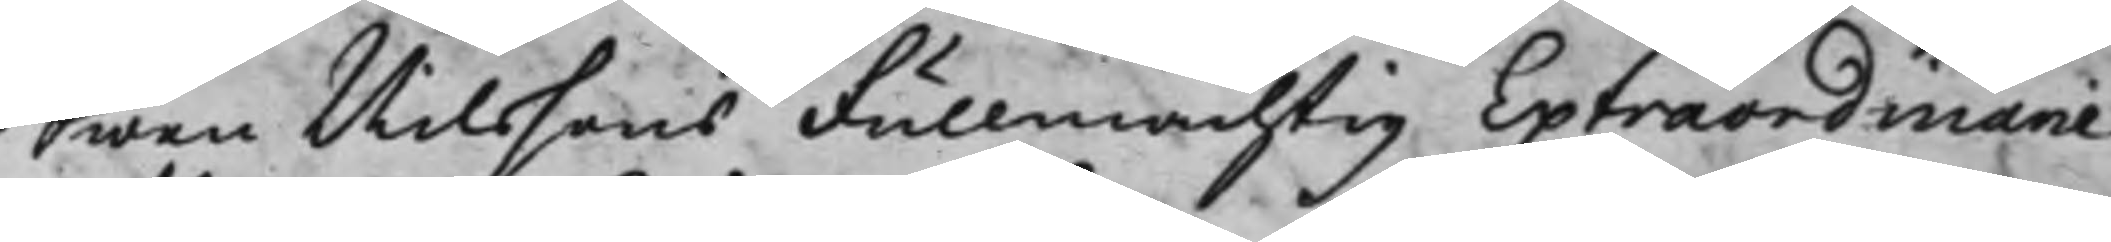Swen Nilssons Fullmächtig Extraordinarie
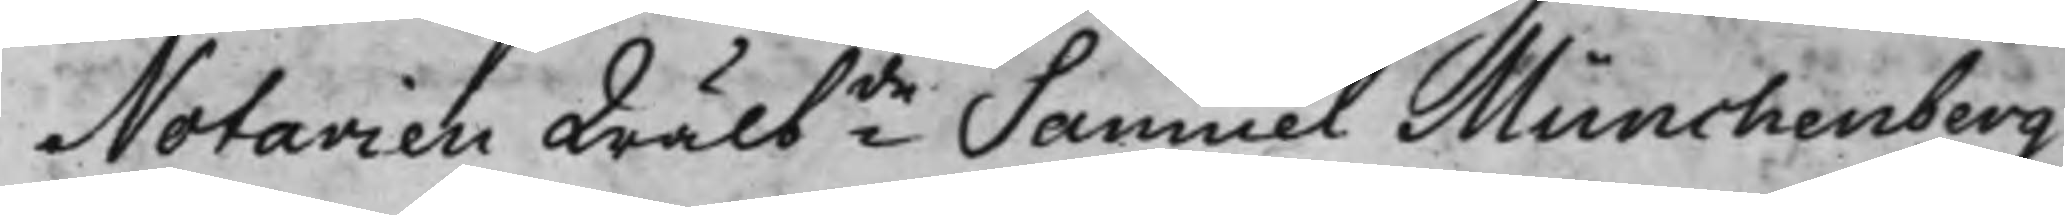Notarien Wälbde Samuel Münchenberg
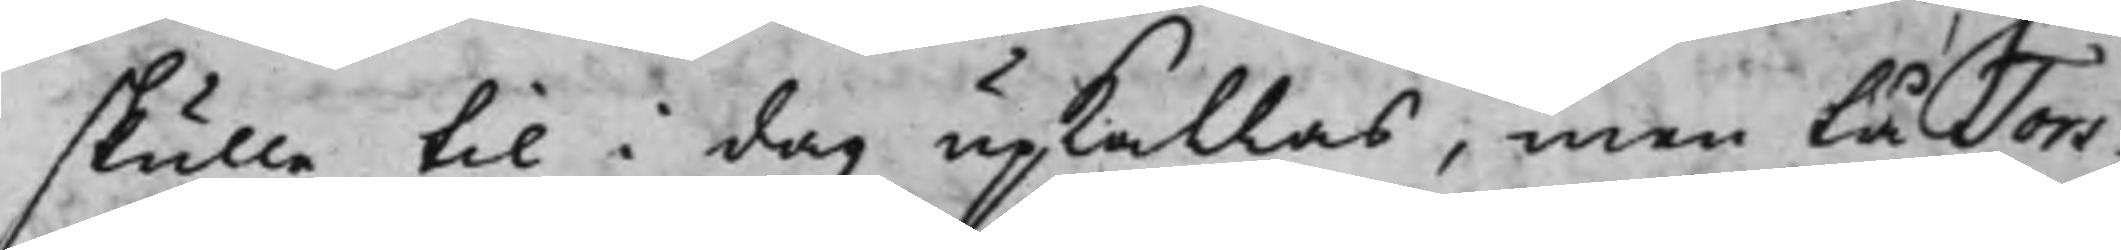skulle til i dag upkallas; men tå Tors¬
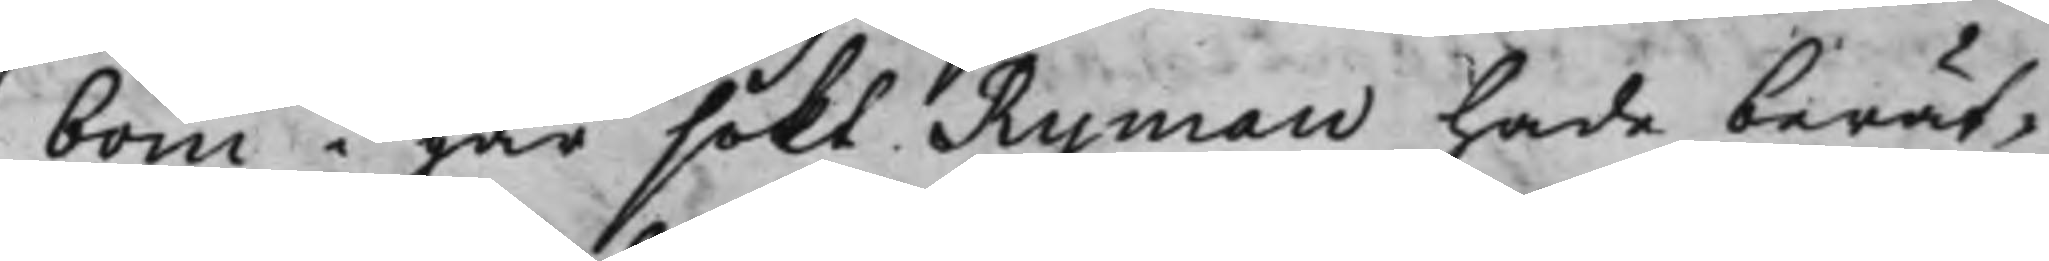bom i går sökt Ryman hade berät¬
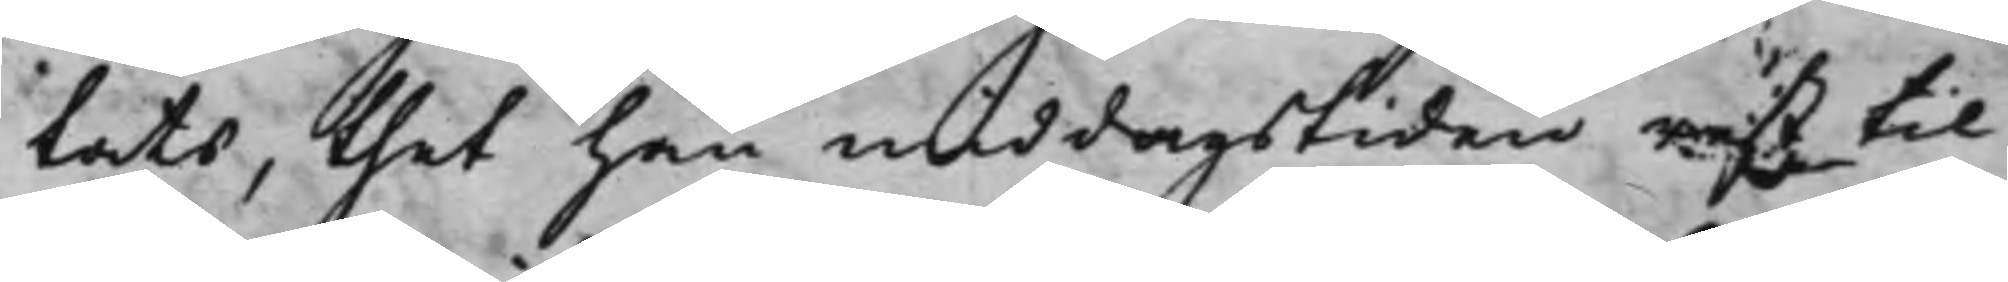tats, thet han middagstiden rest til
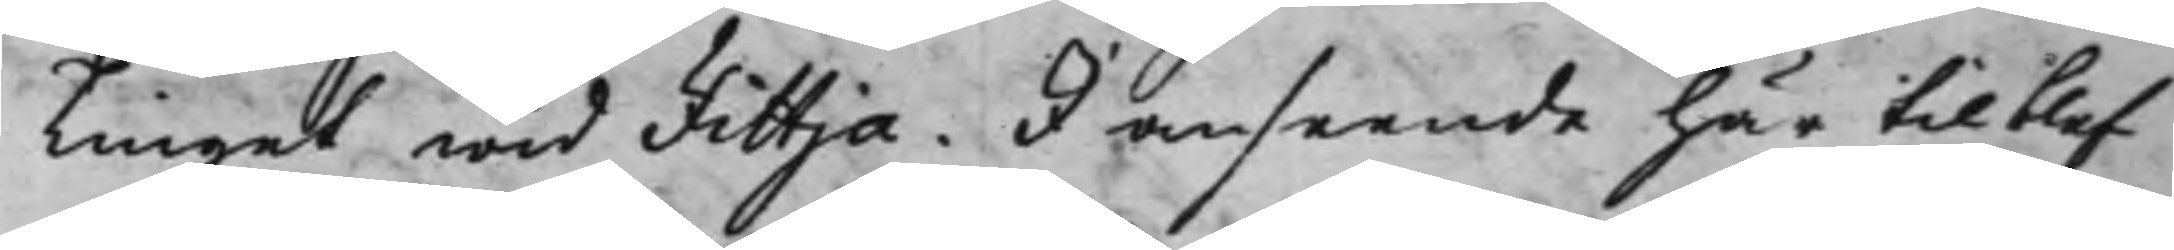Tinget wid Fittja. I anseende här til blef
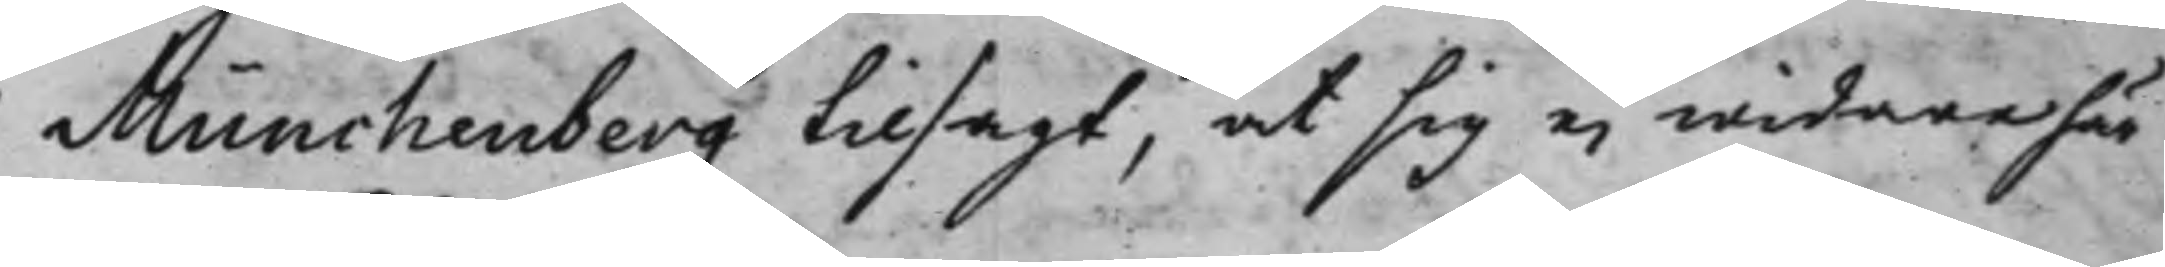Münchenberg tilsagt, at sig ei widare här
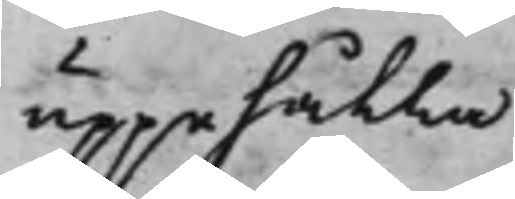uppehålla.
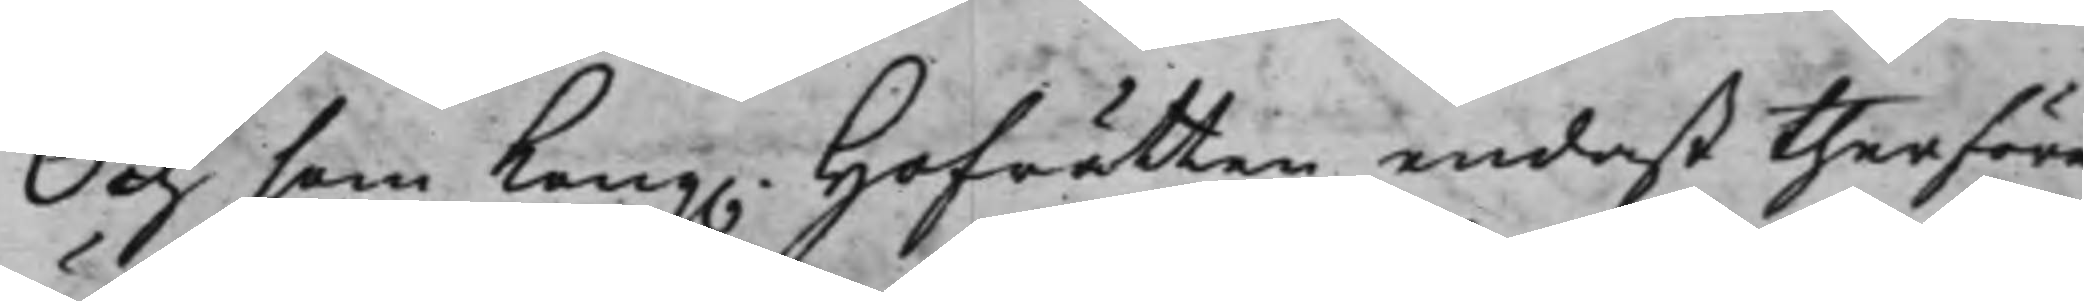Och som Kong. Hofrätten endast therföre
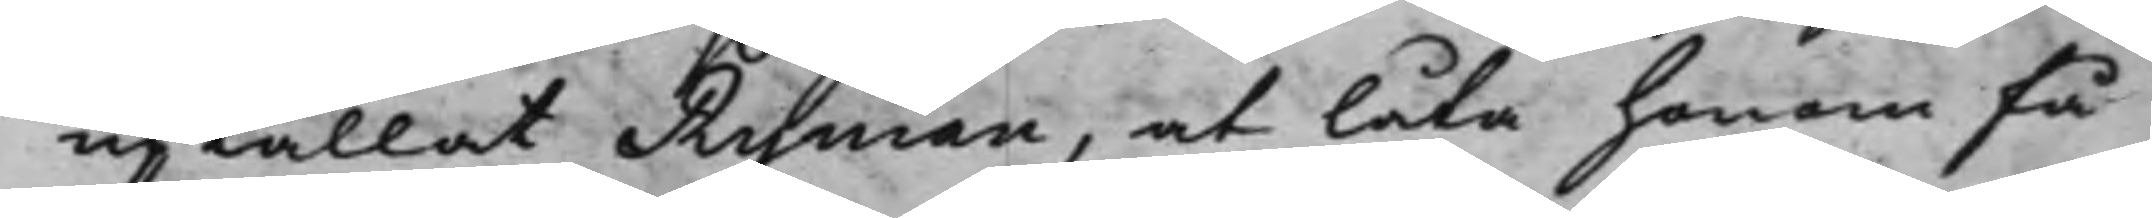upkallat Ryman, at låta honom få
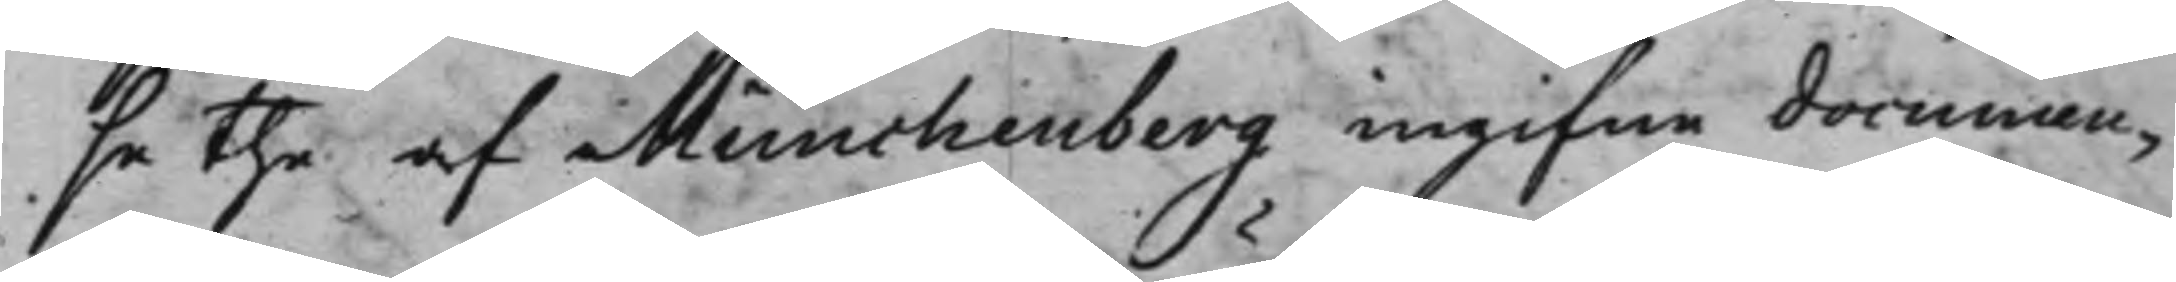se the af Münchenberg ingifne documen¬
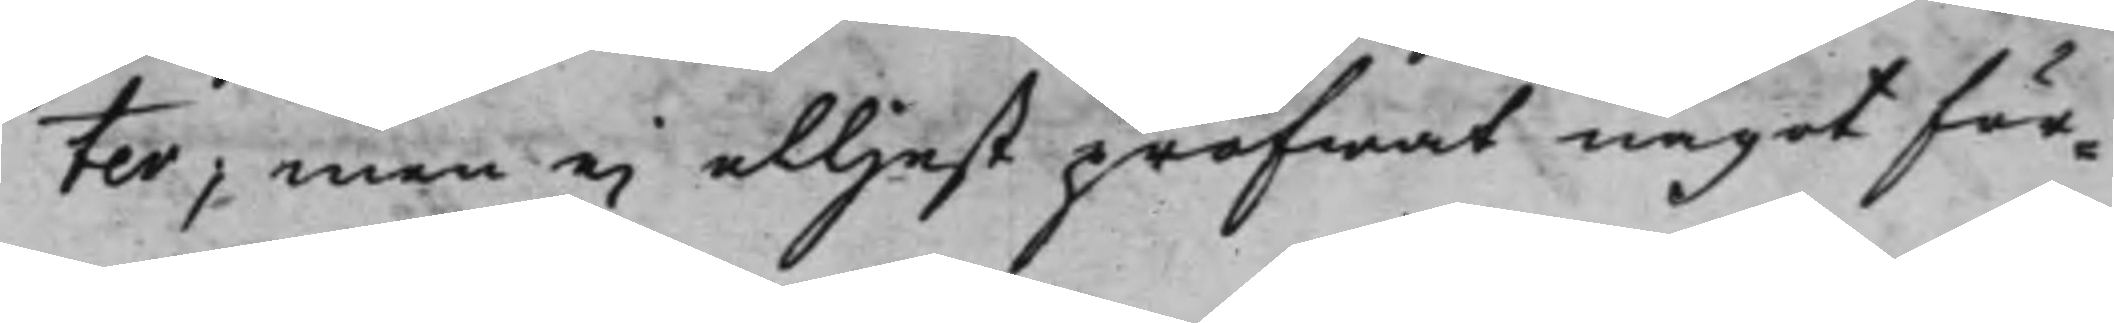ter, men ei elljest pröfwat något för¬
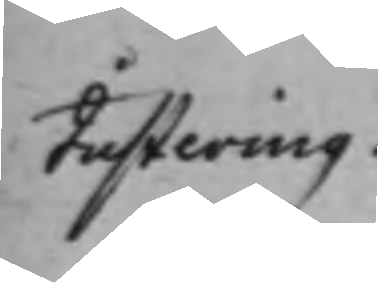Justering.
